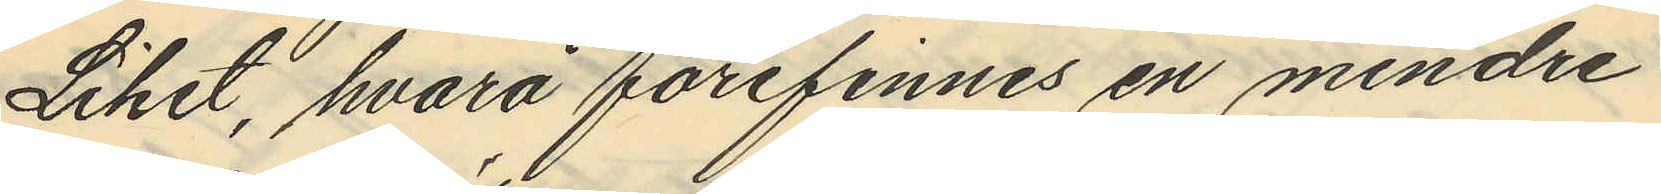Liket, hvarå förefinnes en mindre
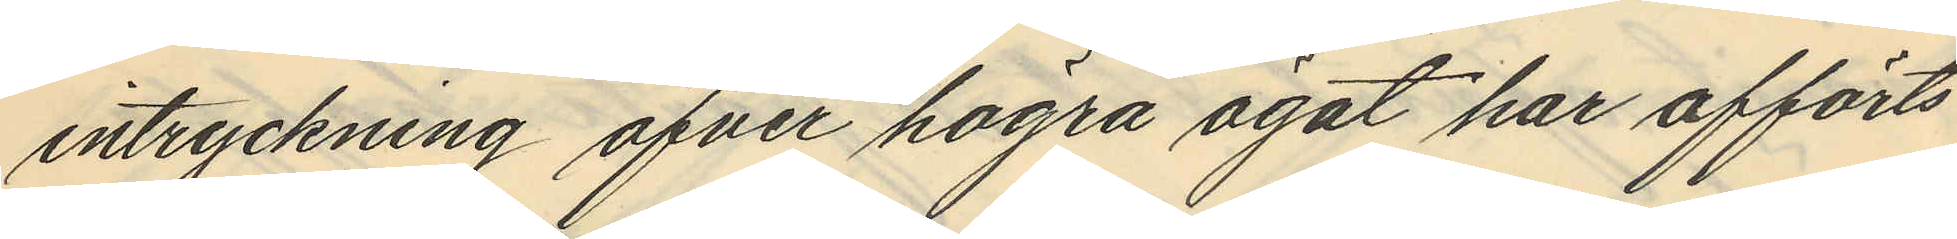intryckning öfver högra ögat har afförts
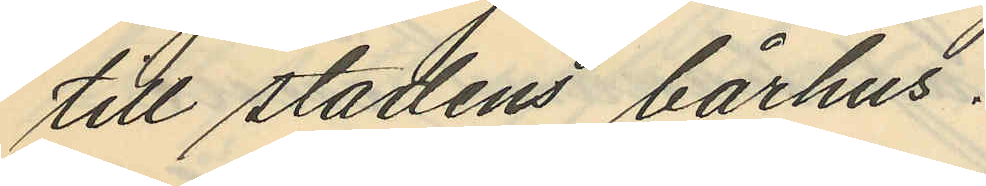till stadens bårhus.
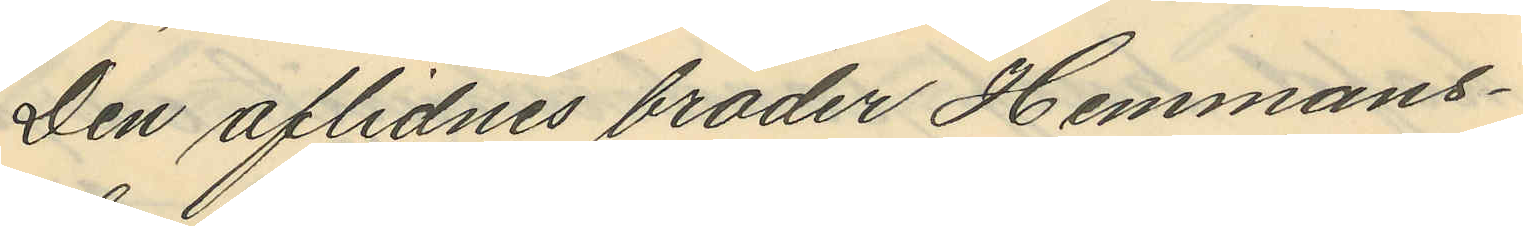Den aflidnes broder Hemmans¬
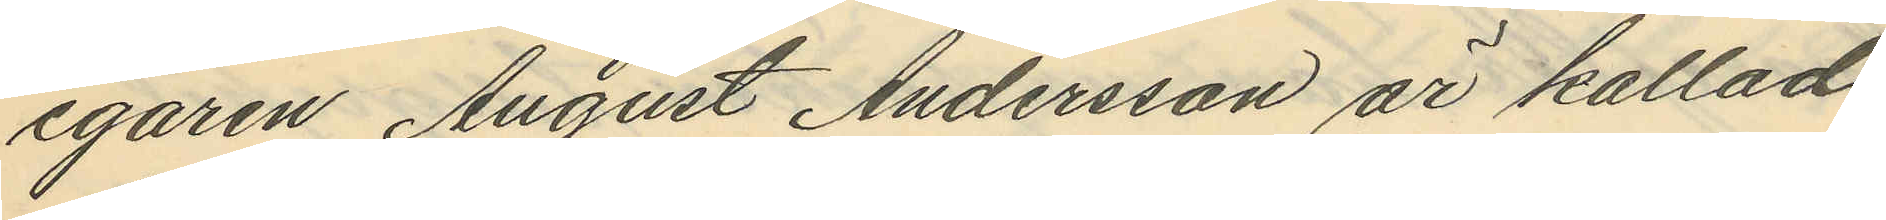egaren August Andersson är kallad
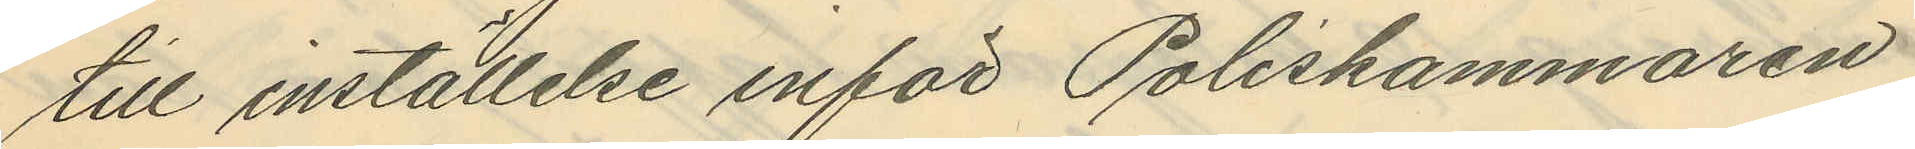till inställelse inför Poliskammaren
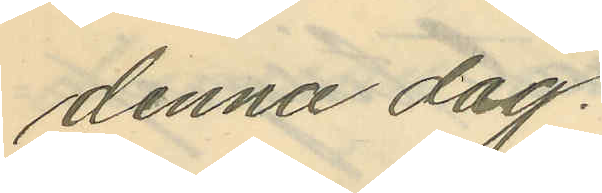denna dag.
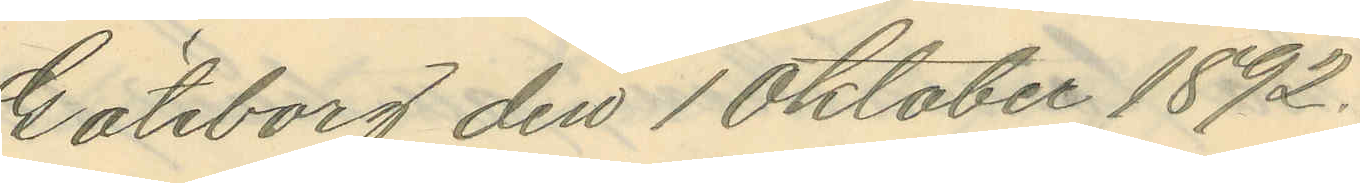Göteborg den 1 Oktober 1892.
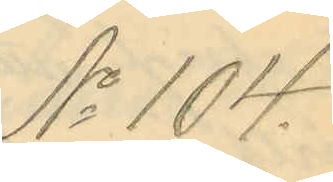No 104.
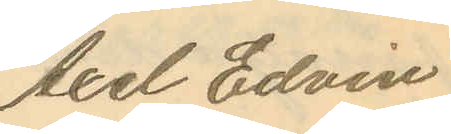Axel Edvin
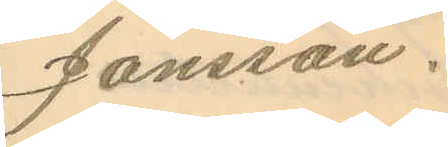Jönsson.
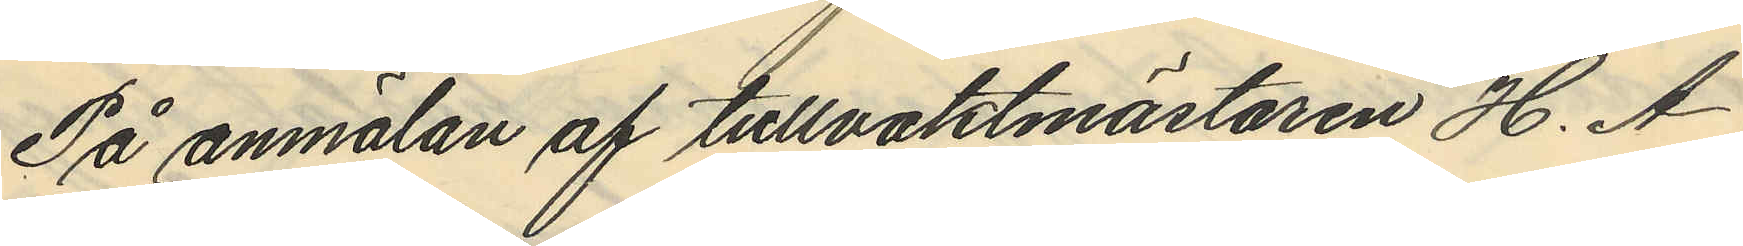På anmälan af tullvaktmästaren H. A
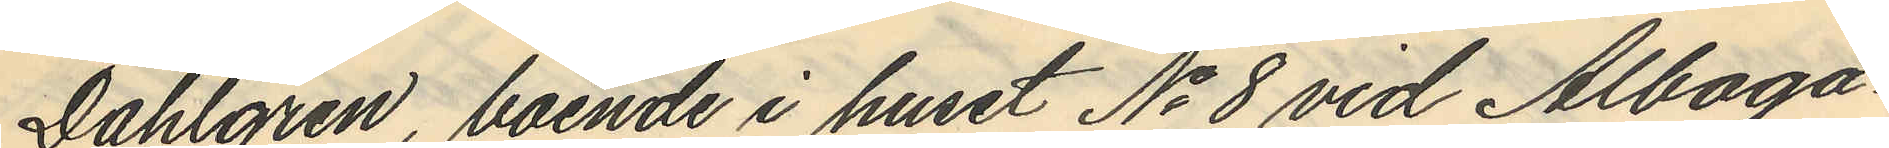Dahlgren, boende i huset No 8 vid Alboga¬
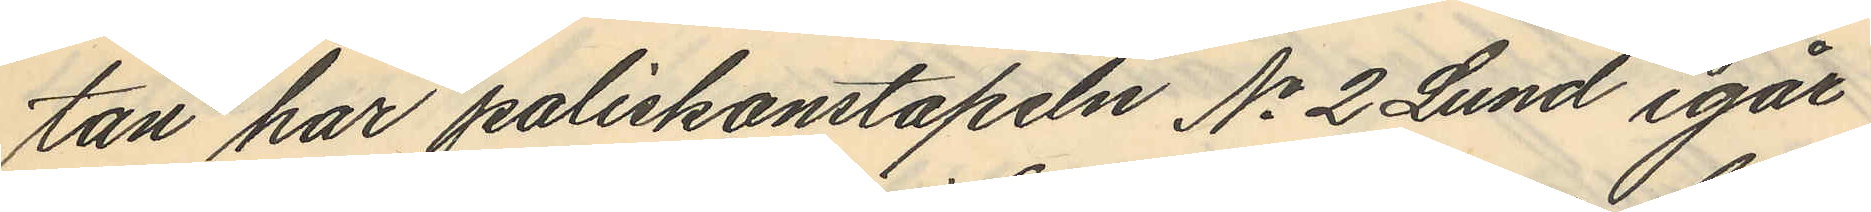tan har poliskonstapeln No 2 Lund igår
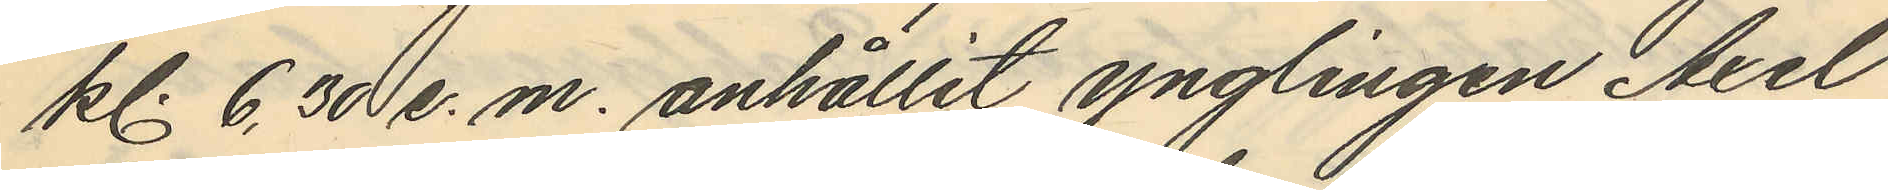kl. 6,30 e.m. anhållit ynglingen Axel
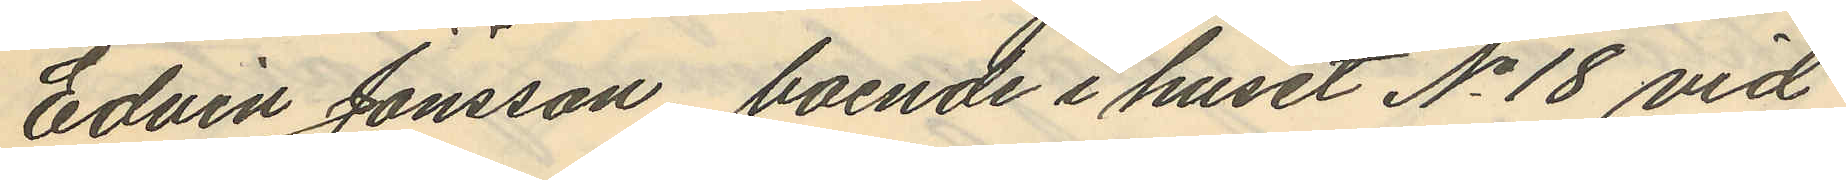Edvin Jönsson, boende i huset No 18 vid
